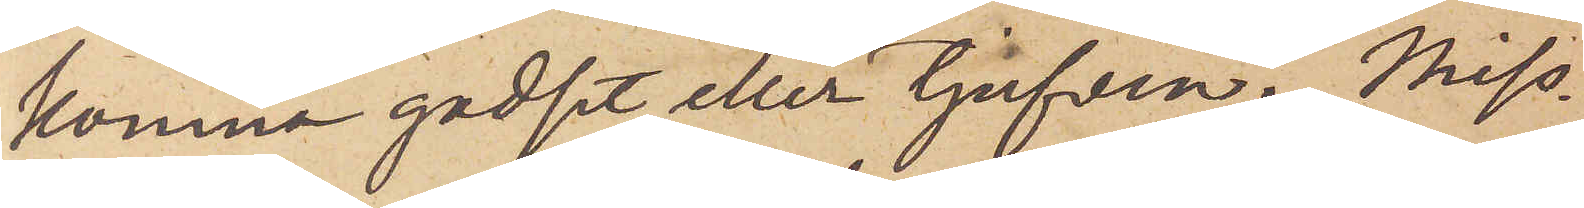komna godset eller tjufven. Miss¬
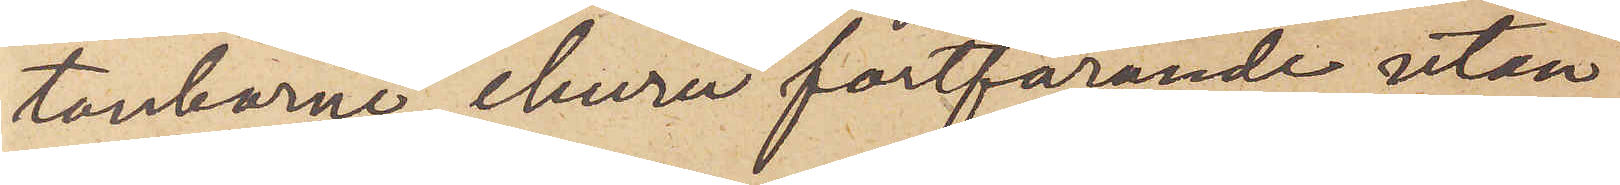tankarne, ehuru fortfarande utan
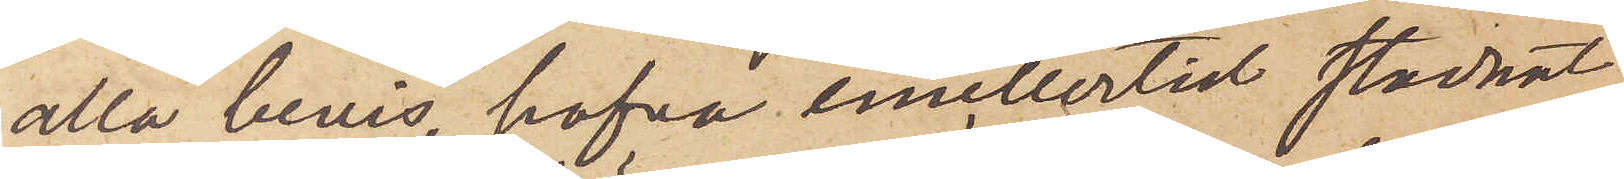alla bevis, hafva emellertid stannat
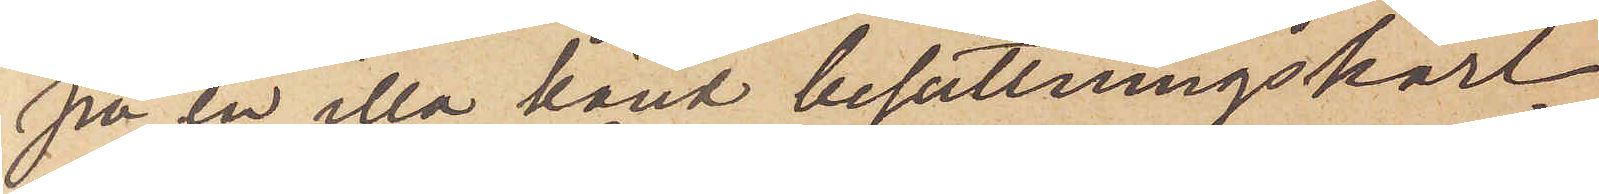på en illa känd besättningskarl
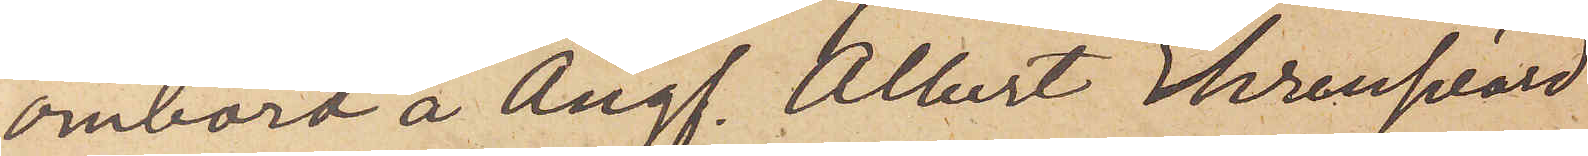ombord å Ångf. Albert Ehrensvärd
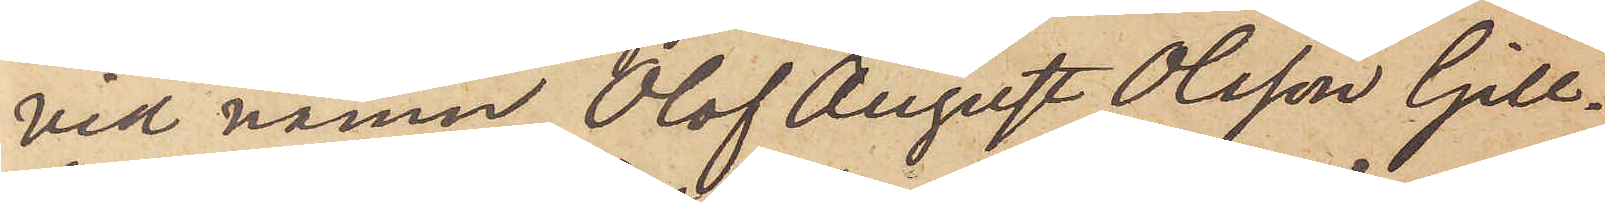vid namn Olof August Olsson Gill¬
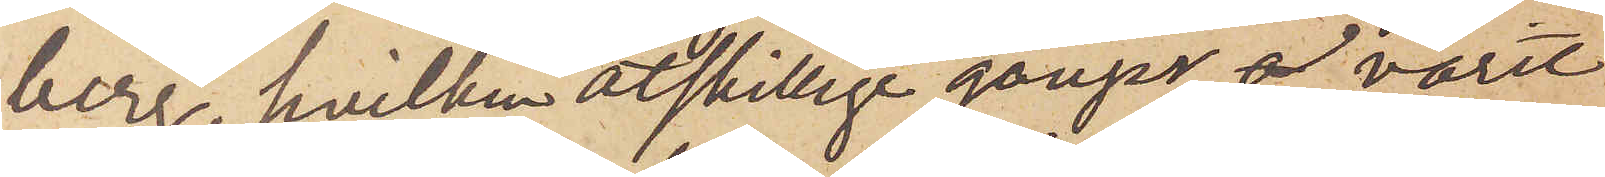berg, hvilken åtskillige gånger varit
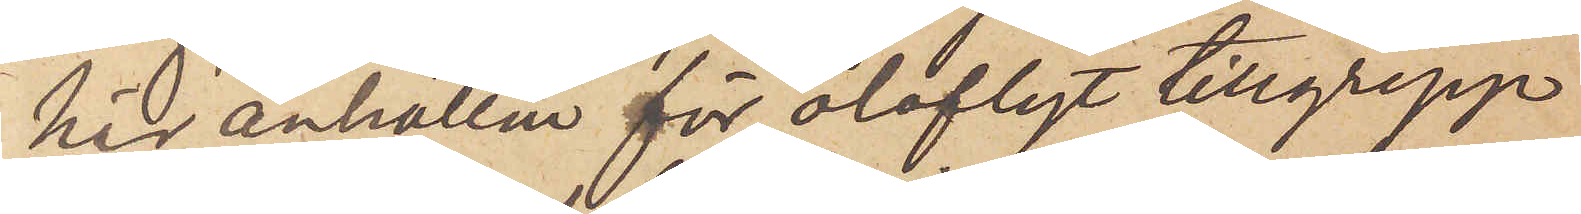här anhållen för olofligt tillgrepp
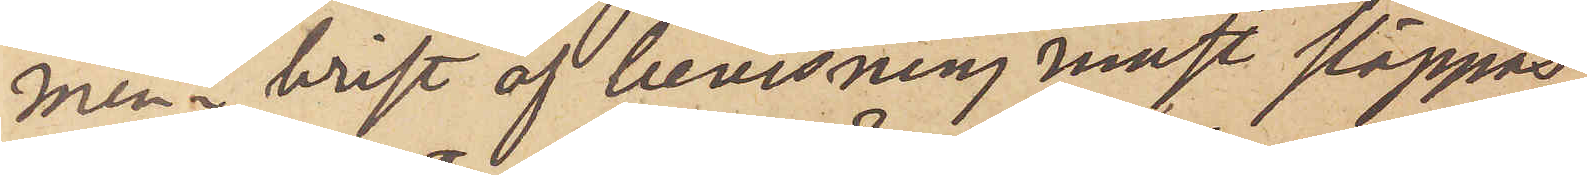men i brist af bevisning måst släppas
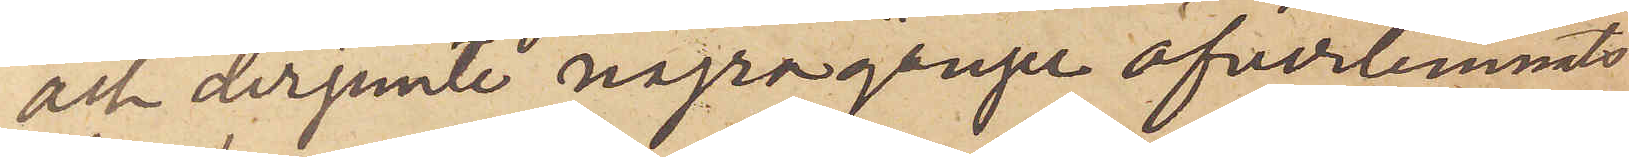och derjemte några gånger öfverlemnats
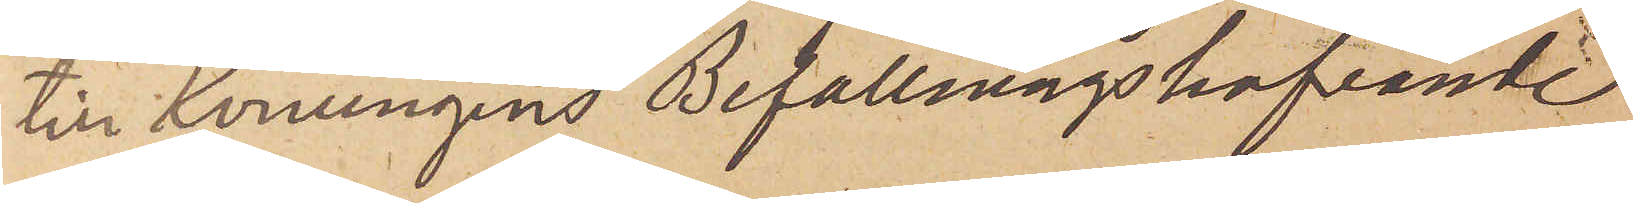till Konungens Befallingshafvande
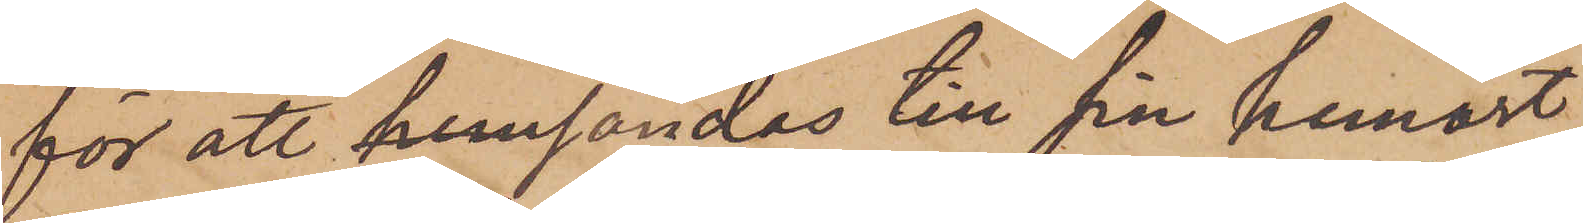för att hemsändas till sin hemort,
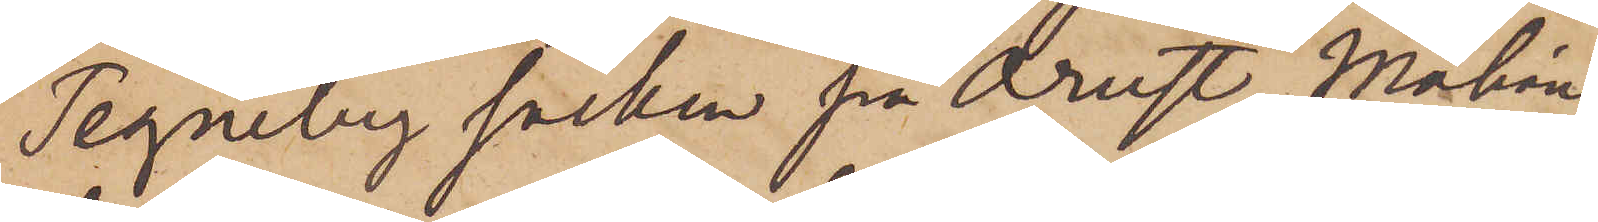Tegneby socken på Orust. Måhän¬
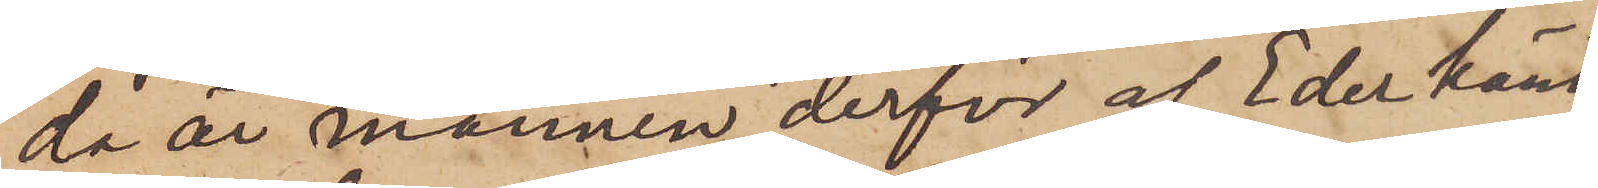da är mannen derför af Eder känd,
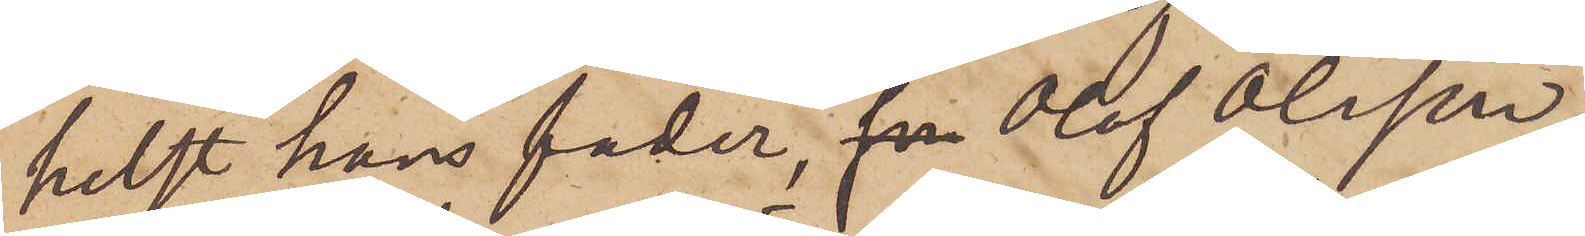helst hans fader,  Olof Olsson,
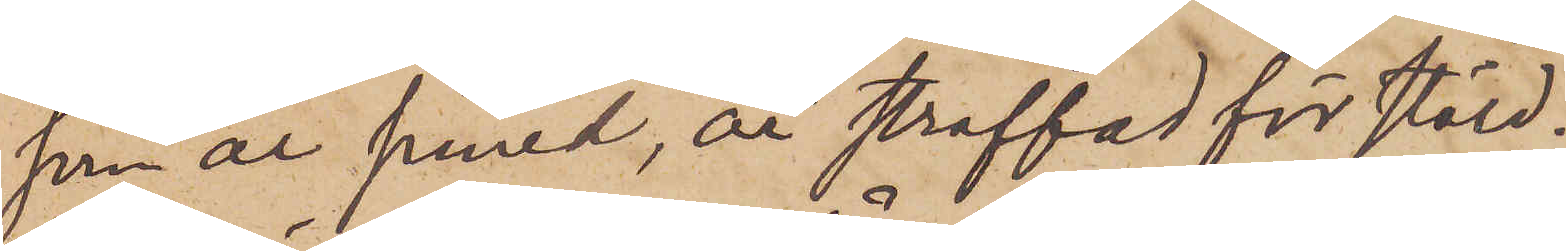som är smed, är straffad för stöld.
